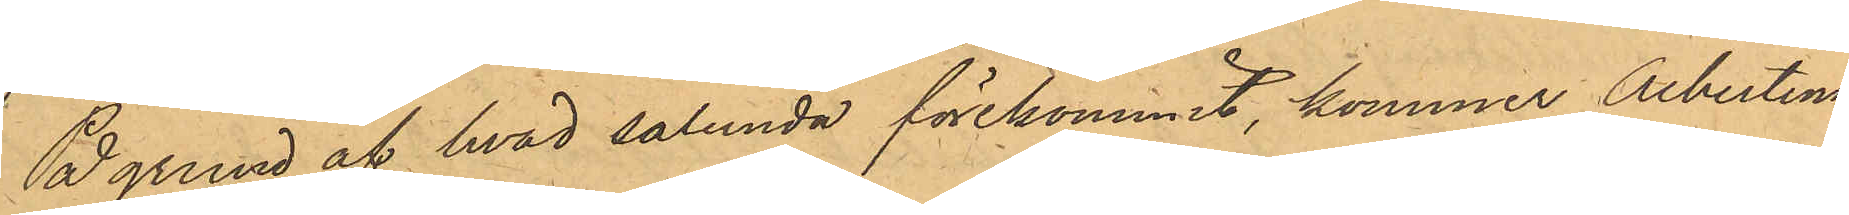På grund af hvad sålunda förekommit, kommer Albertina
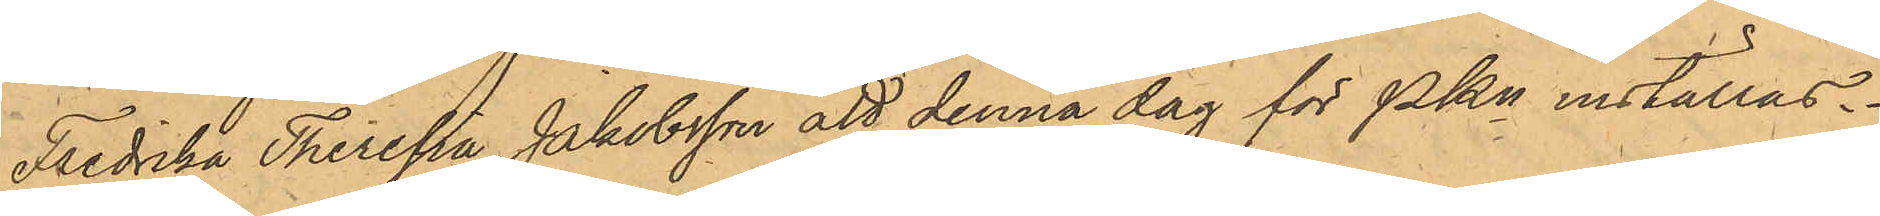Fredrika Theresia Jakobsson att denna dag för PKn inställas.
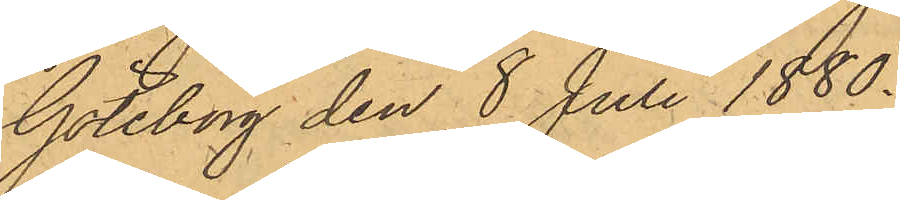Göteborg den 8 Juli 1880.
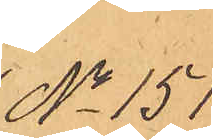No 151.
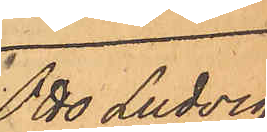Otto Ludvig
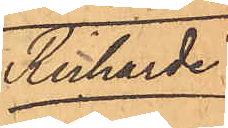Richarde.
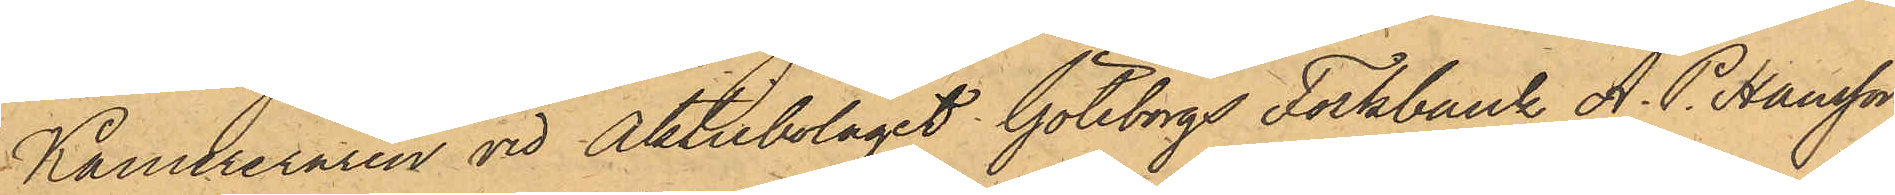Kamereraren vid Aktiebolaget Göteborgs Folkbank A. P. Hansson
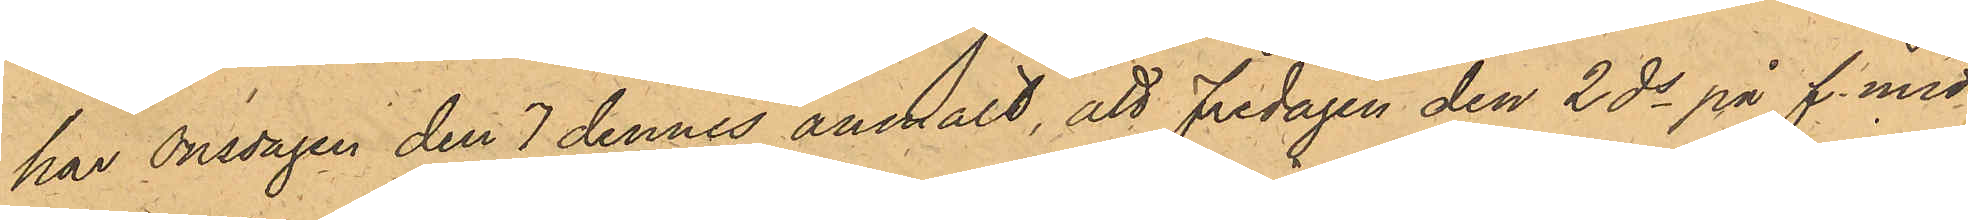har Onsdagen den 7 dennes anmält, att Fredagen den 2 ds på f. midd.
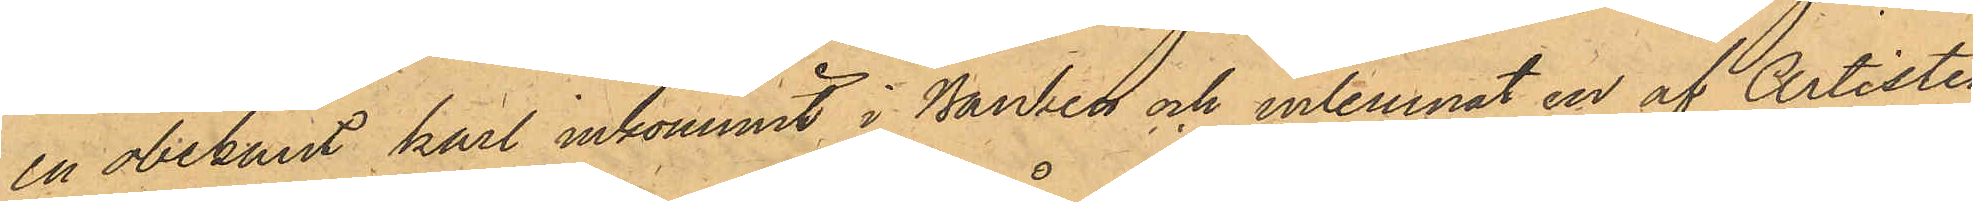en obekant karl inkommit i Banken och inlemnat en af Artisten
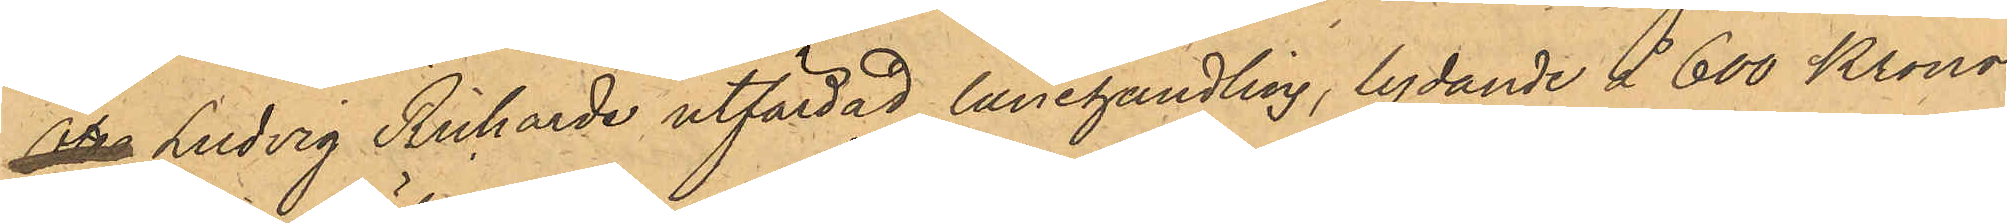Otto Ludvig Richarde utfärdad lånehandling, lydande å 600 Kronor,
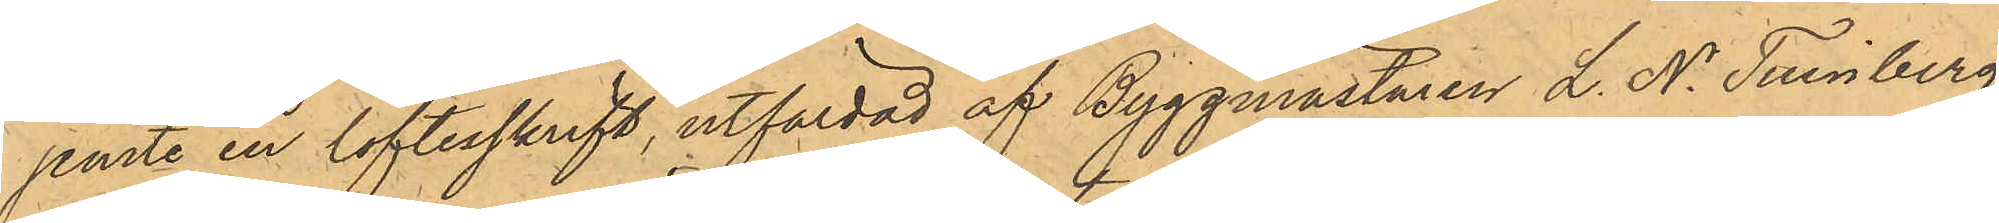jemte en löftesskrift, utfärdad af Byggmästaren L. N. Tinnberg,
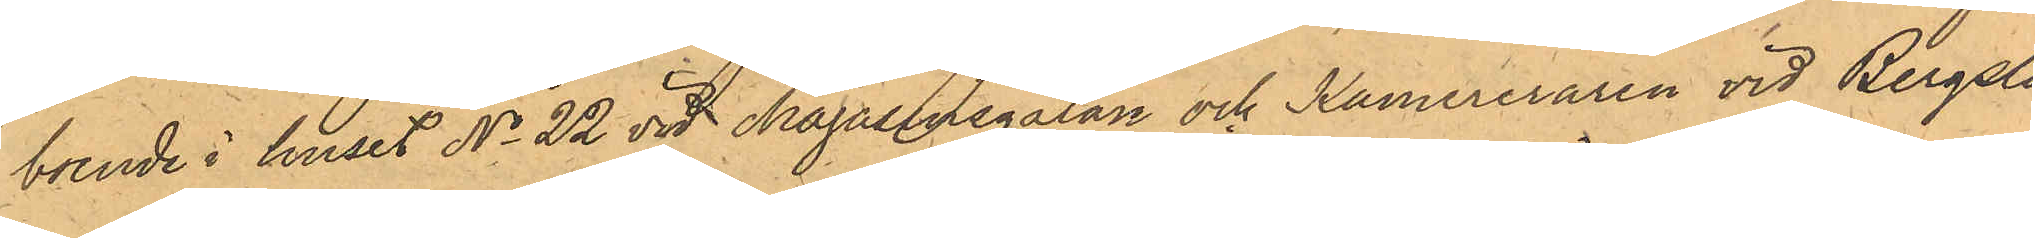boende i huset No 22 vid Magasinsgatan och Kamereraren vid Bergsla¬
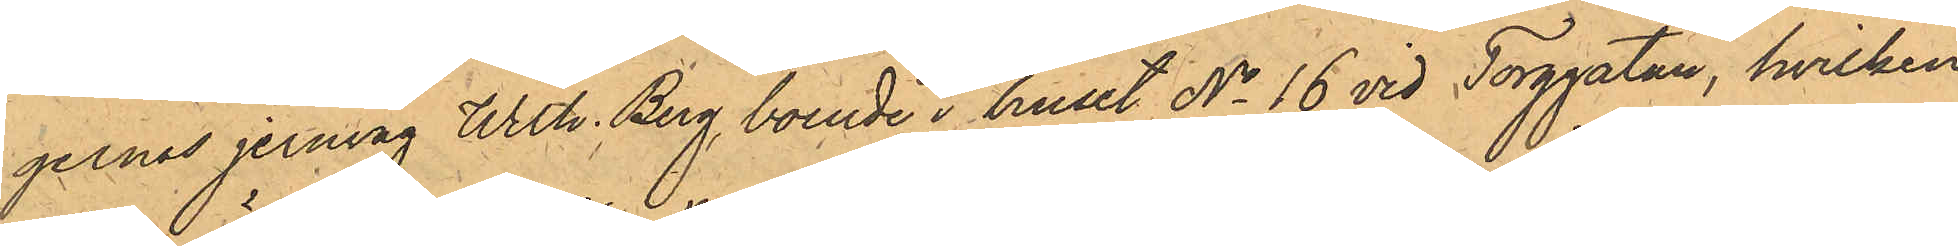gernes jernväg Wilh. Berg, boende i huset No 16 vid Torggatan, hvilken
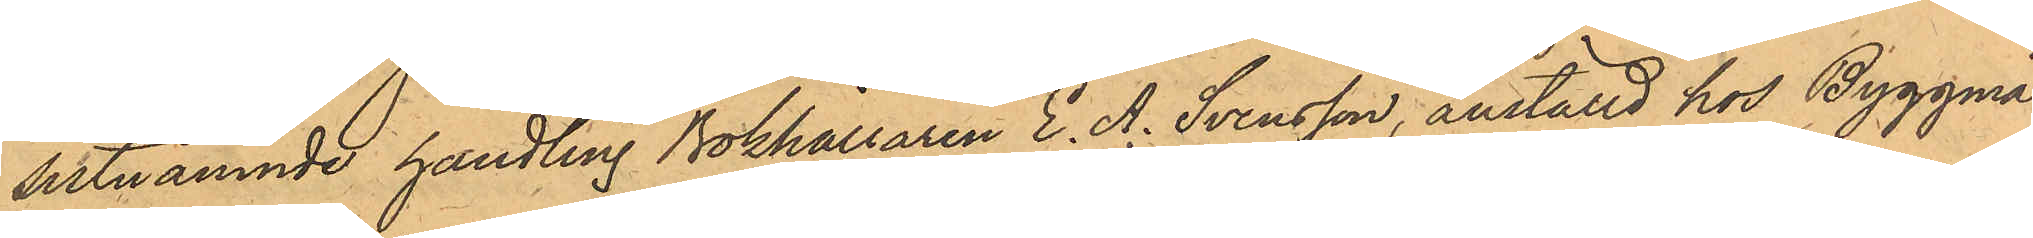sistnämnde handling Bokhållaren E. A. Svensson, anställd hos Byggmä¬
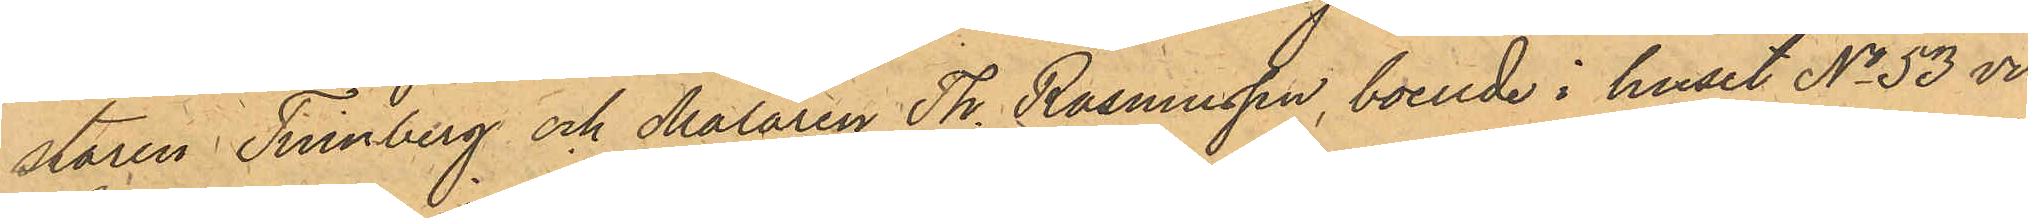staren Tinnberg och Målaren Th. Rasmussen, boende i huset No 53 vid
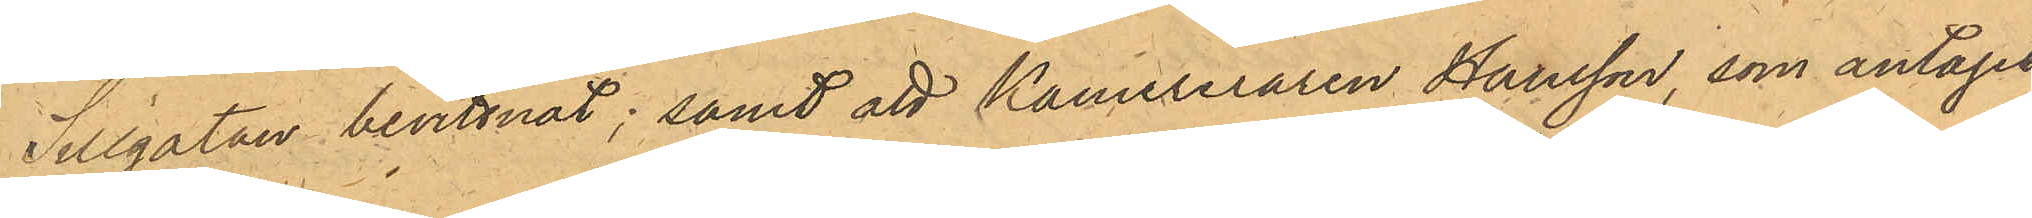Sillgatan bevittnat; samt att Kamereraren Hansson, som antagit
